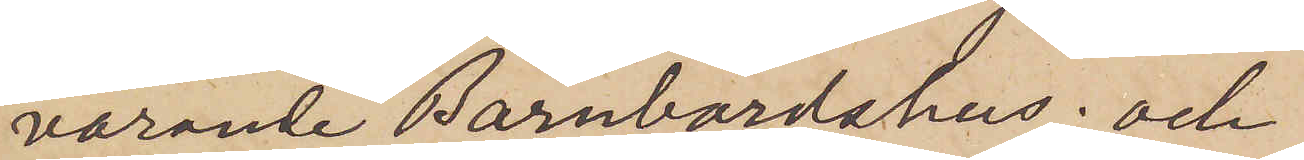varande Barnbördshus; och
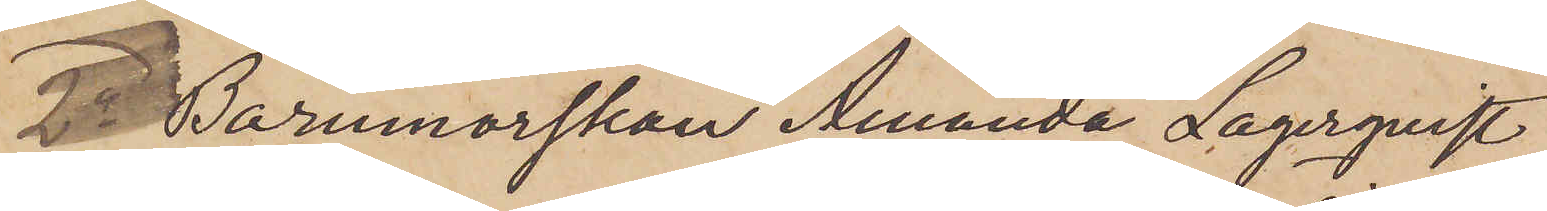2o Barnmorskan Amanda Lagerqvist
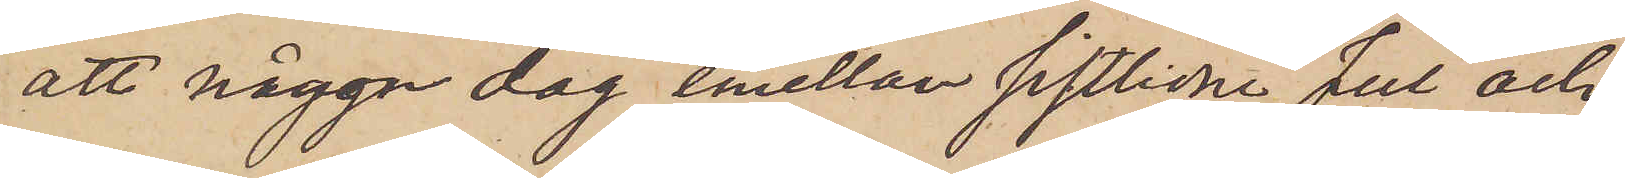att någon dag emellan sistlidne Jul och
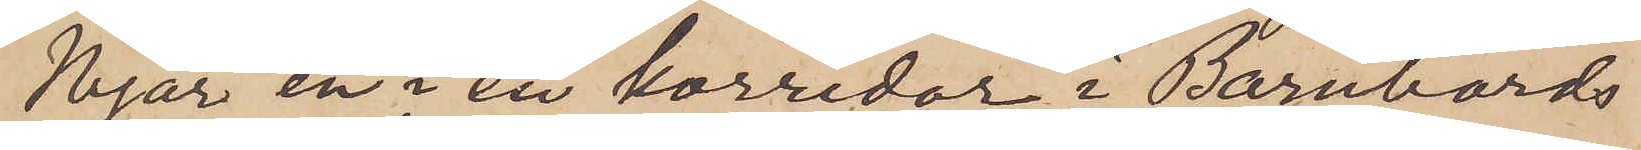Nyår en i en korridor i Barnbörds
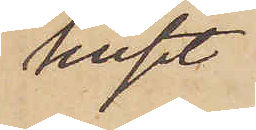huset
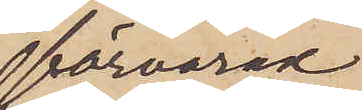förvarad
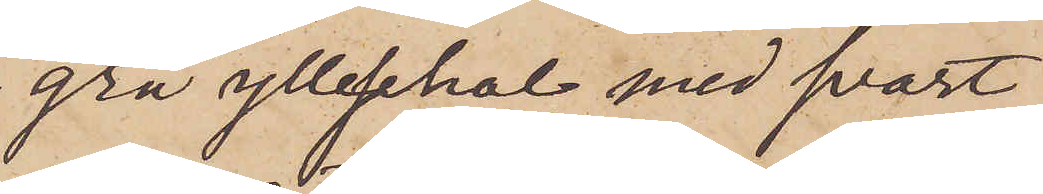grå ylleschal med svart
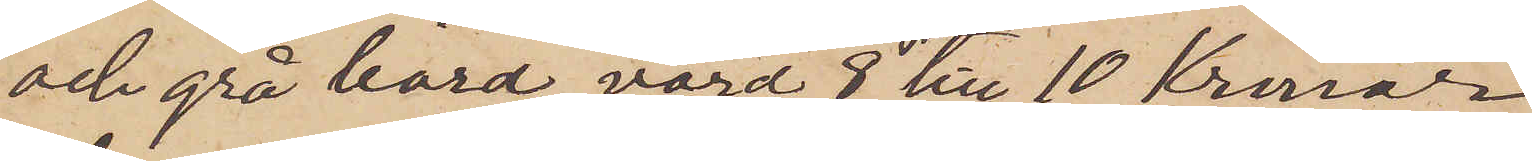och grå bård, värd 8 till 10 kronor
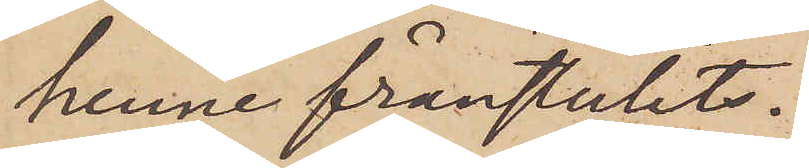henne frånstulits.
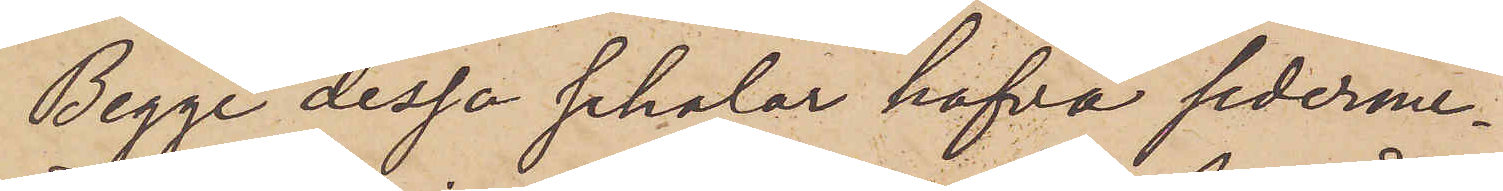Begge dessa schalar hafva sederme¬
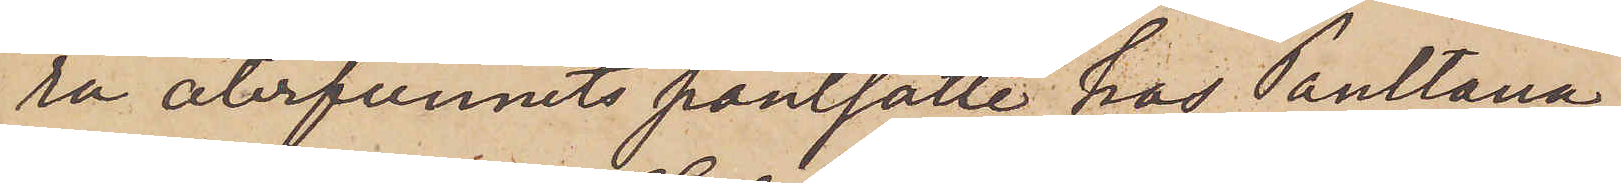ra återfunnits pantsatte hos Pantlåna¬
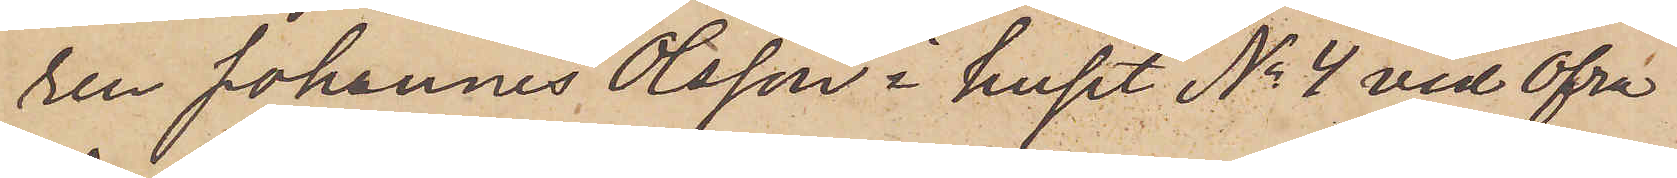ren Johannes Olsson i huset No 4 vid Öfra
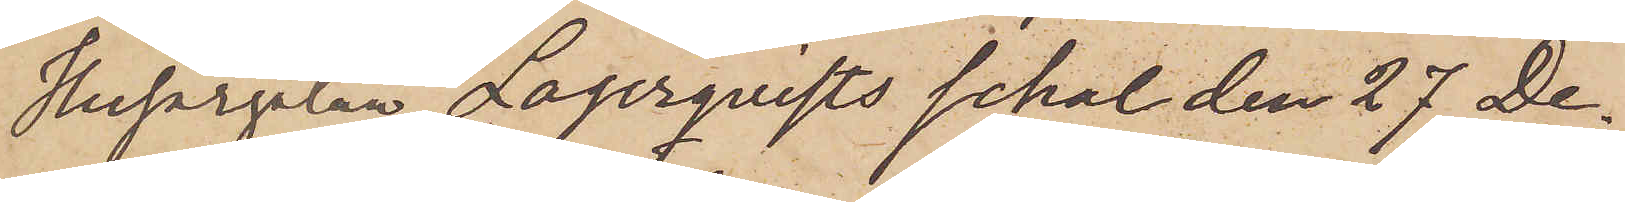Husargatan, Lagerqvists schal den 27 De¬
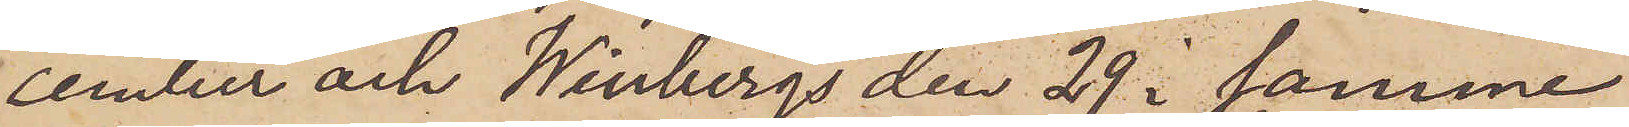cember och Winbergs den 29 i samma
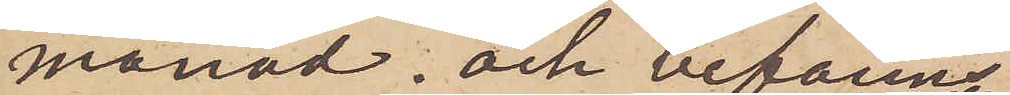månad; och befanns
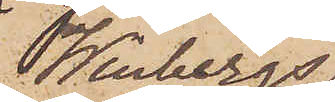Winbergs
